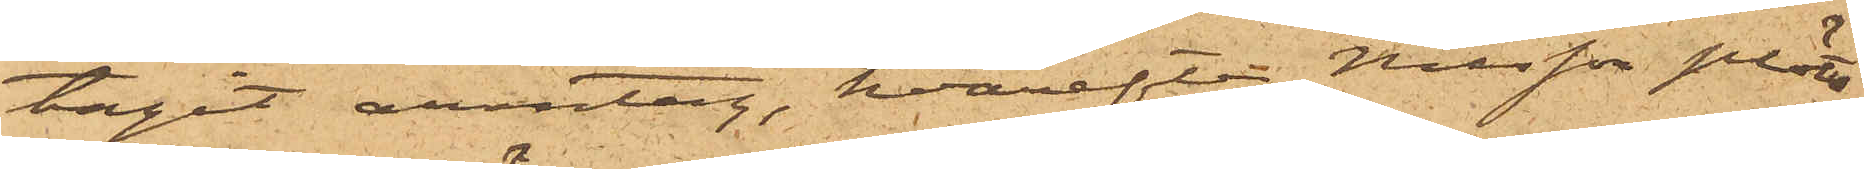tagit armtag, hvarefter Nilsson plöts¬
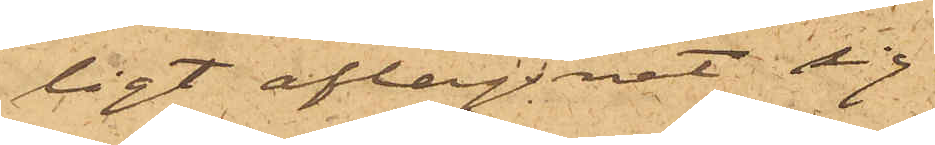ligt aflägsnat sig.
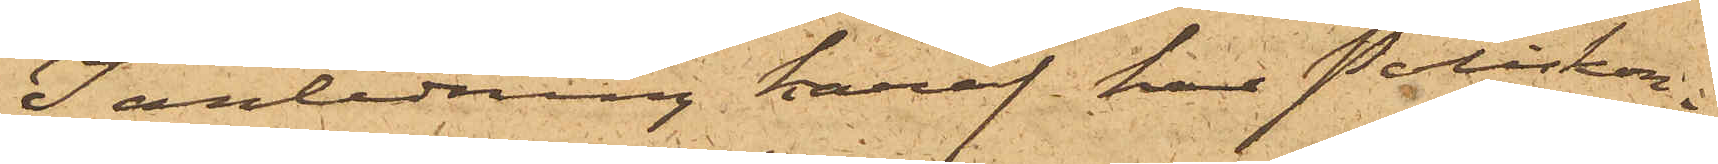I anledning häraf har Poliskon¬
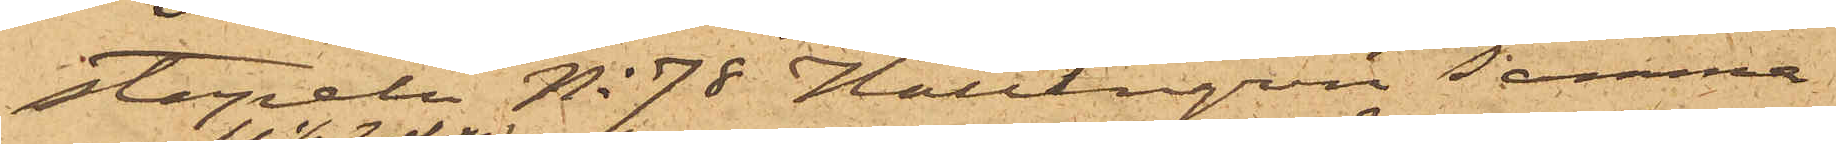stapeln No 78 Hallengren samma
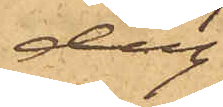dag
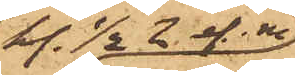kl. ½2 ef.m
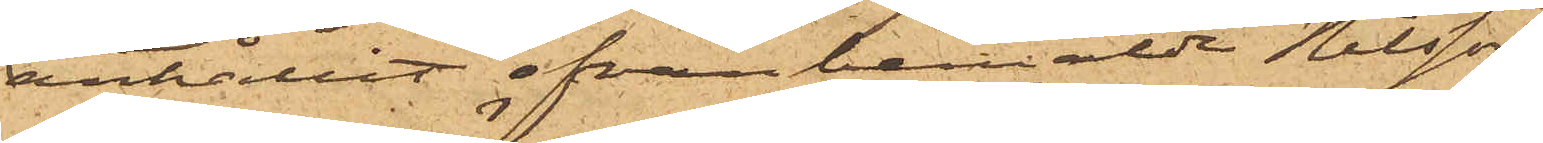anhållit ofvanbemälde Nilsson,
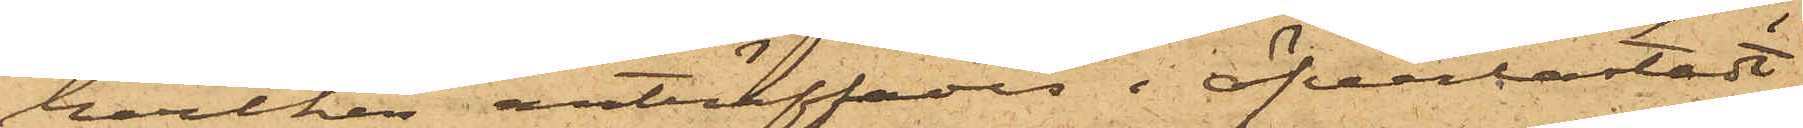hvilken anträffades i öfverlastat
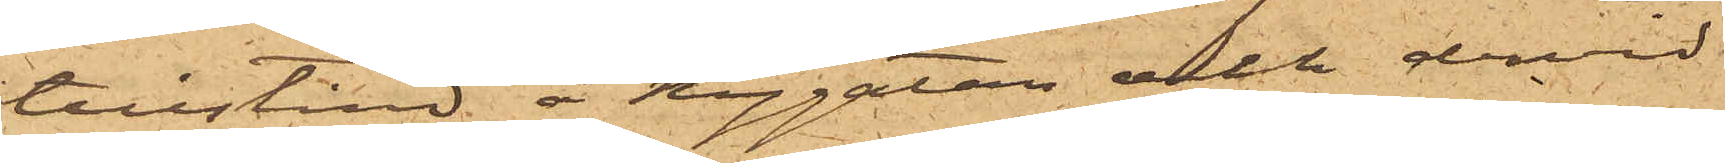tillstånd å Nygatan och dervid
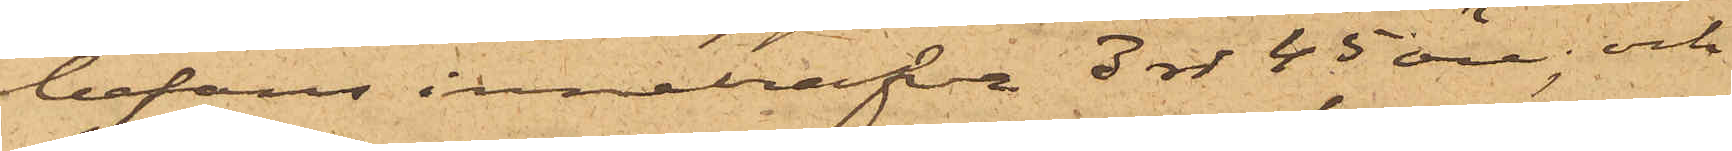befans innehafva 3 rdr 45 öre; och
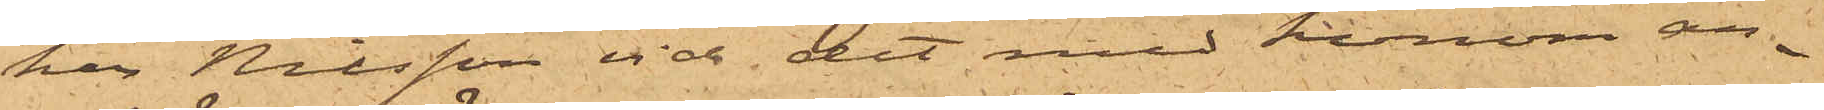har Nilsson vid det med honom an¬
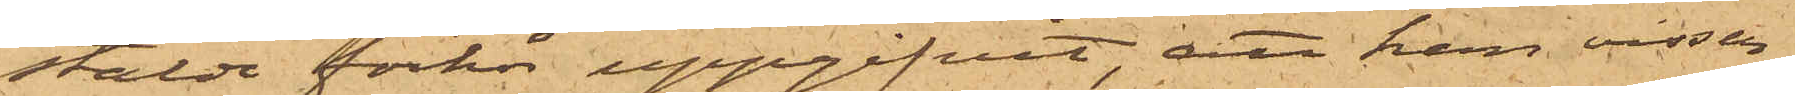stälde förhör uppgifvit, att han visser¬
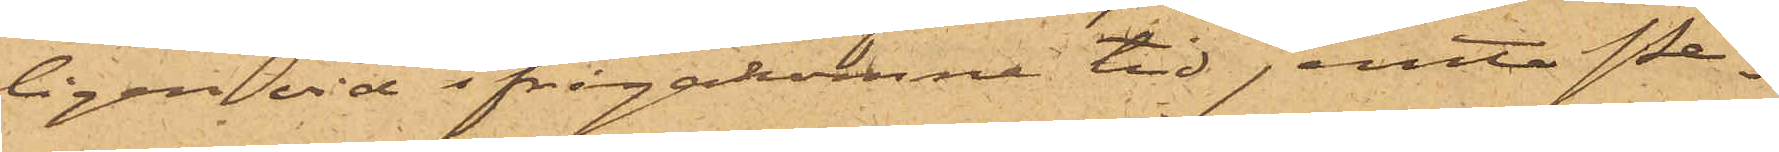ligen vid ifrågakomne tid jemte Pe¬
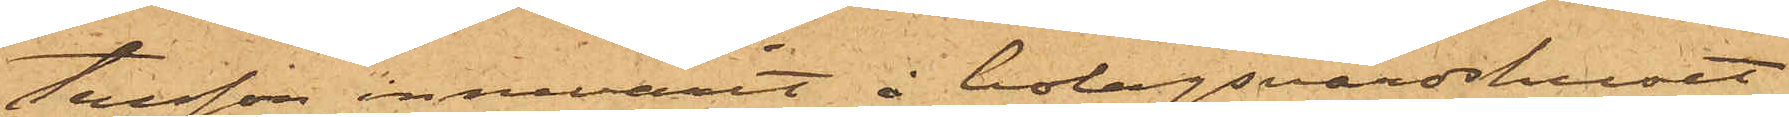tersson innevarit å bolagsvärdshuset
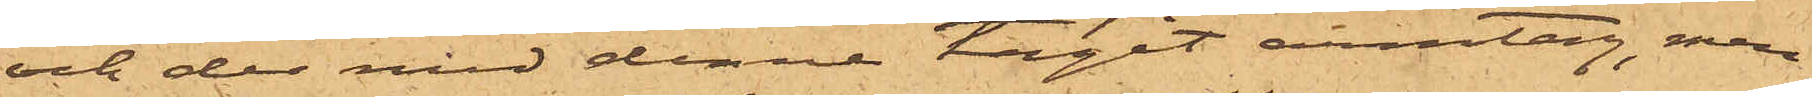och der med denne tagit armtag, men
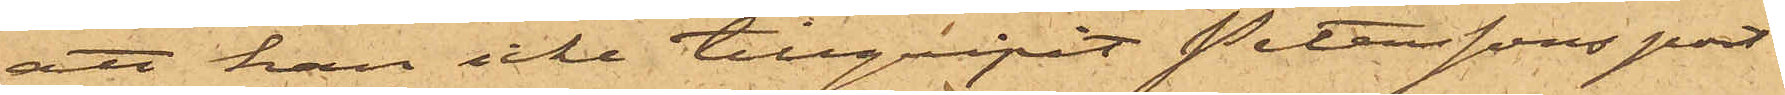att han icke tillgripit Peterssons port¬
